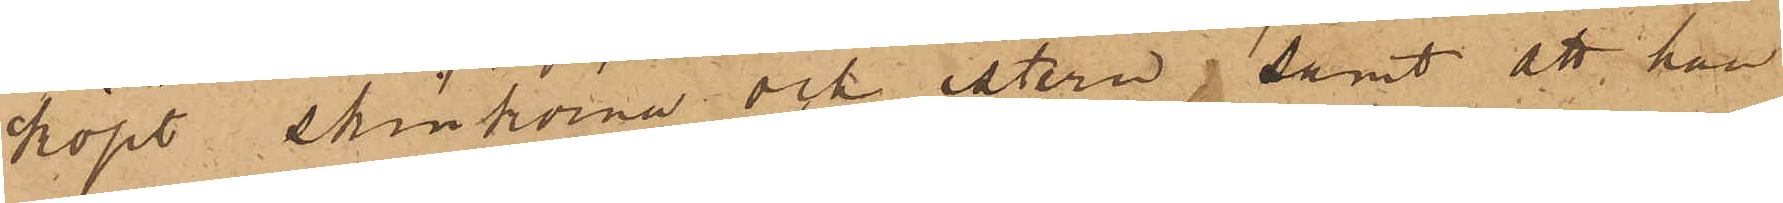köpt skinkorna och istern; samt att han
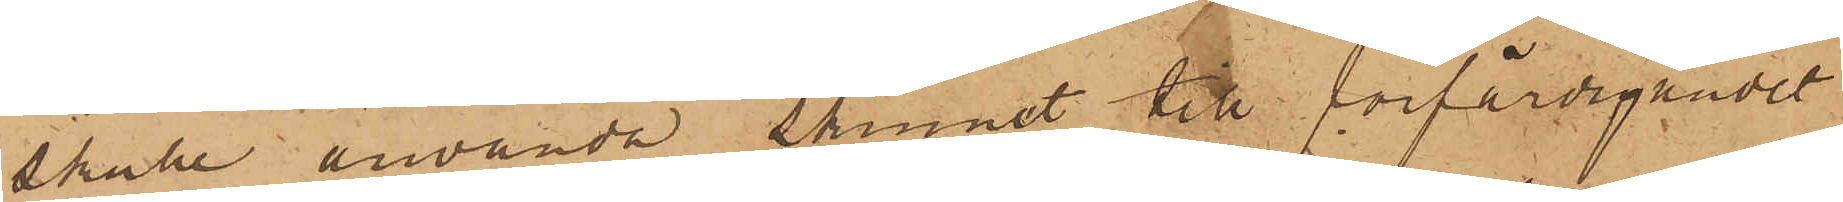skulle använda skinnet till förfärdigandet
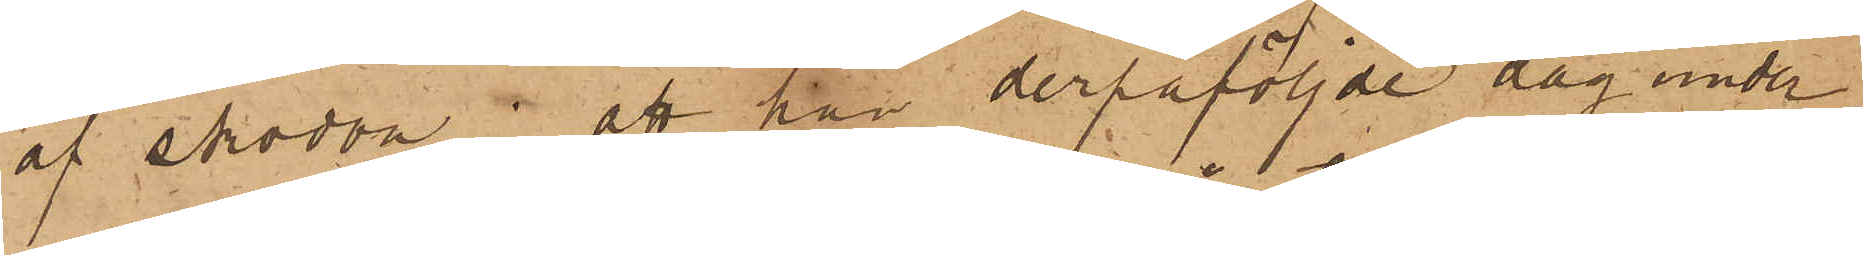af skodon; att han derpåföljde dag under
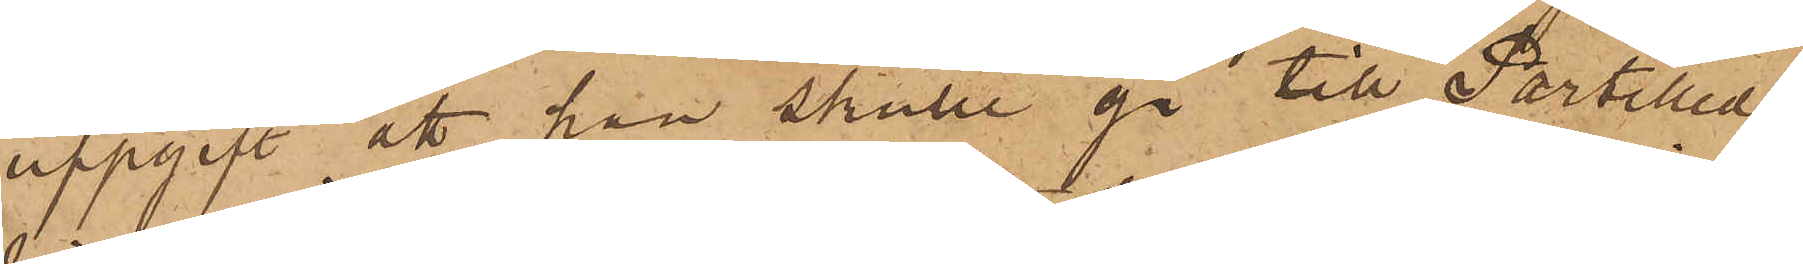uppgift att han skulle gå till Partilled
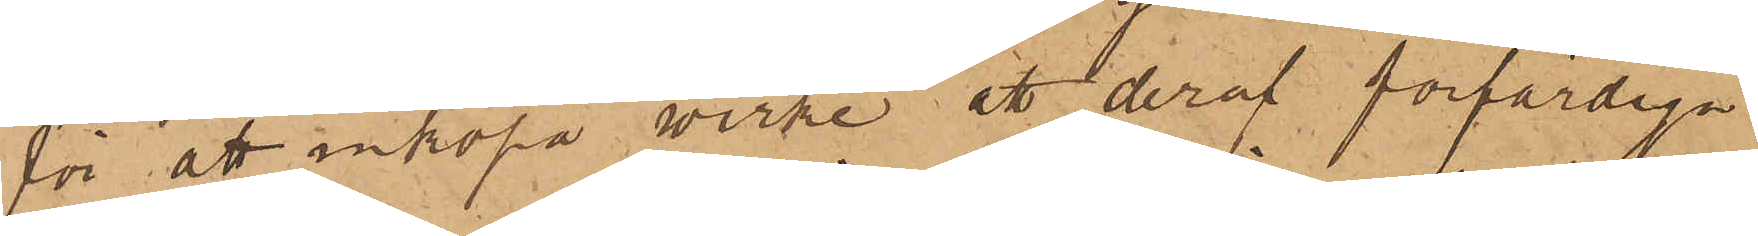för att inköpa wirke att deraf förfärdiga
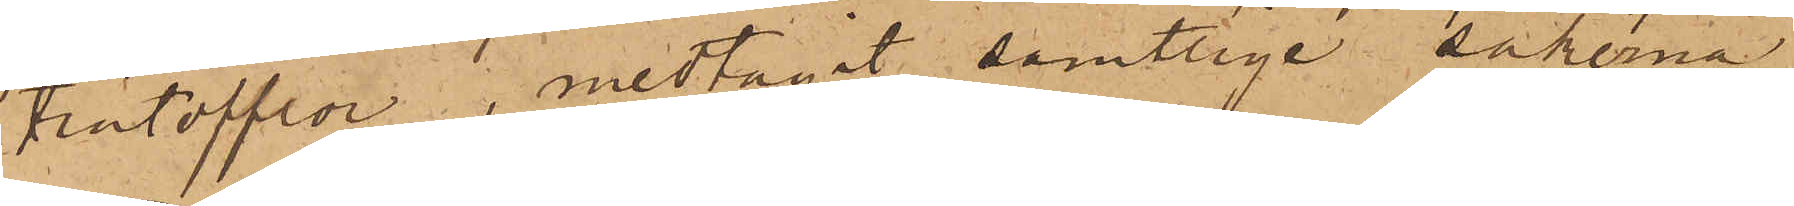trätofflor, medtagit samtlige sakerna
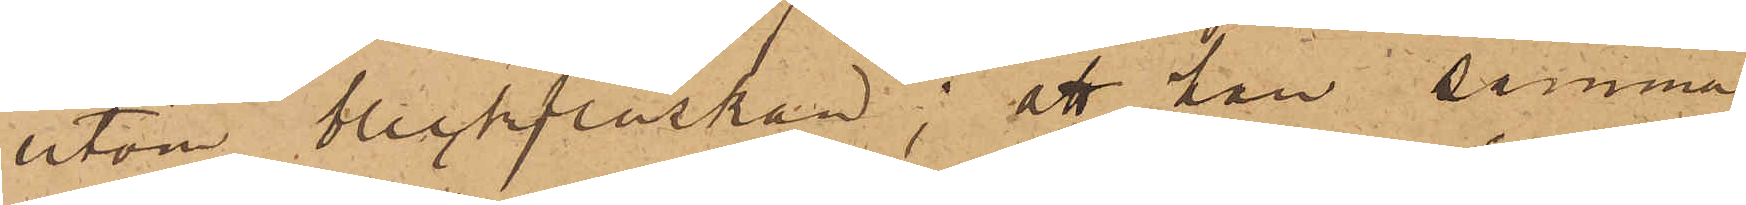utom bleckflaskan; att han samma
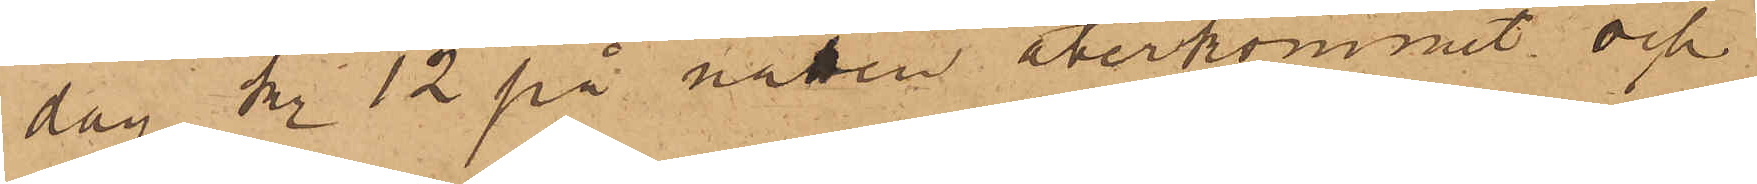dag kl. 12 på natten återkommit och
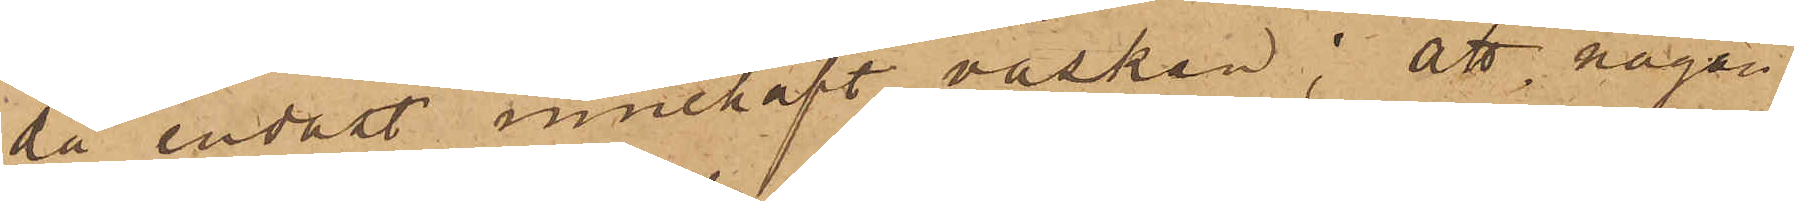då endast innehaft väskan; att någon
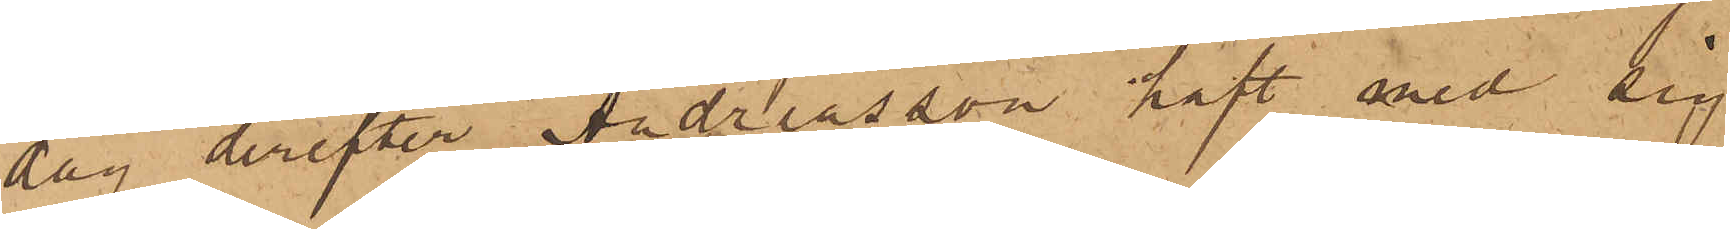dag derefter Andreasson haft med sig
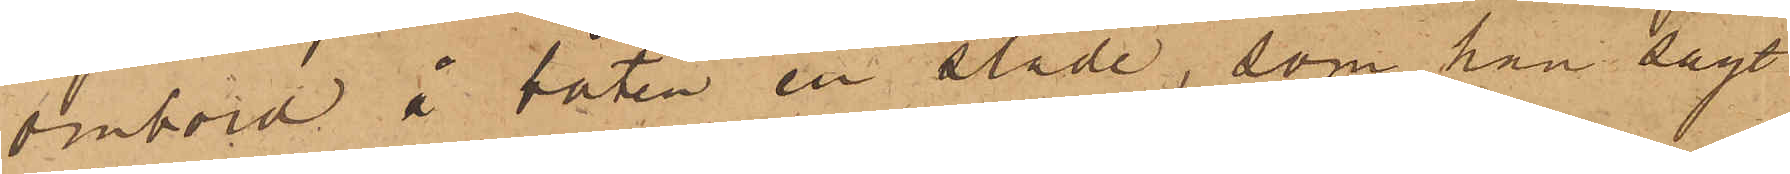ombord å båten en släde, som han sagt
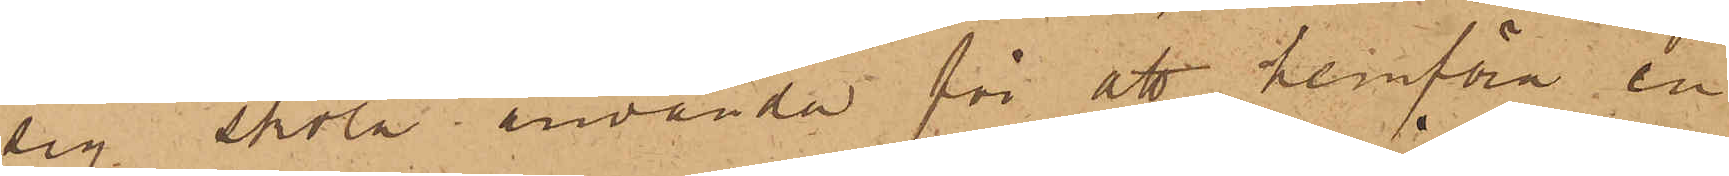sig skola använda för att hemföra en
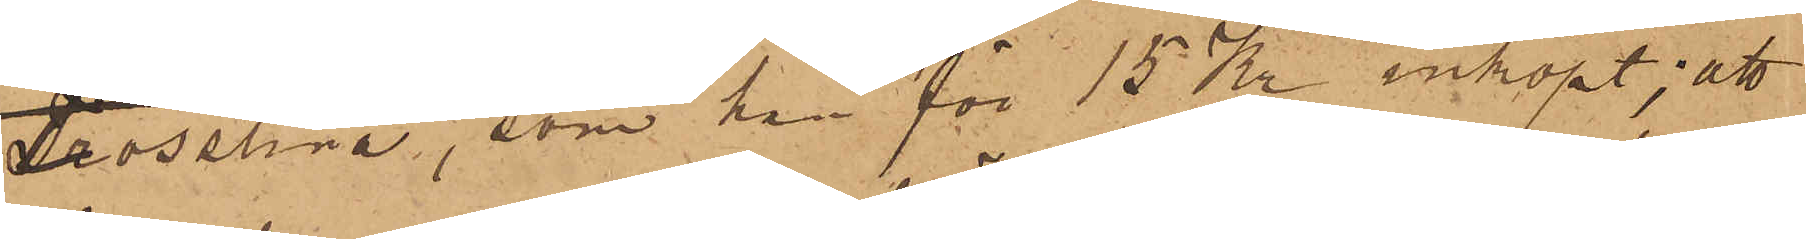Trosslina, som han för 15 Kr inköpt; att
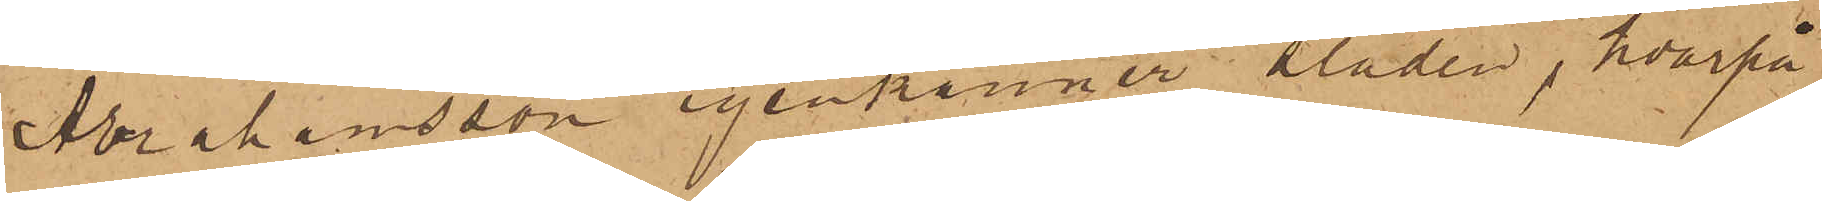Abrahamsson igenkänner Släden, hvarpå
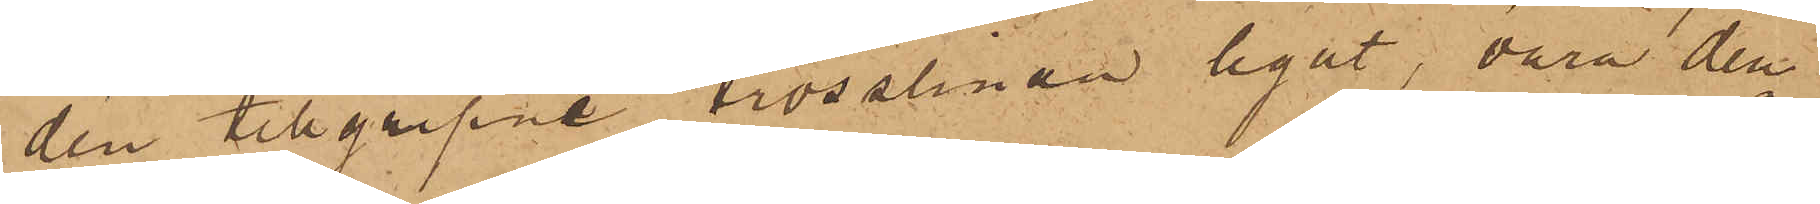den tillgripne trosslinan legat, vara den¬
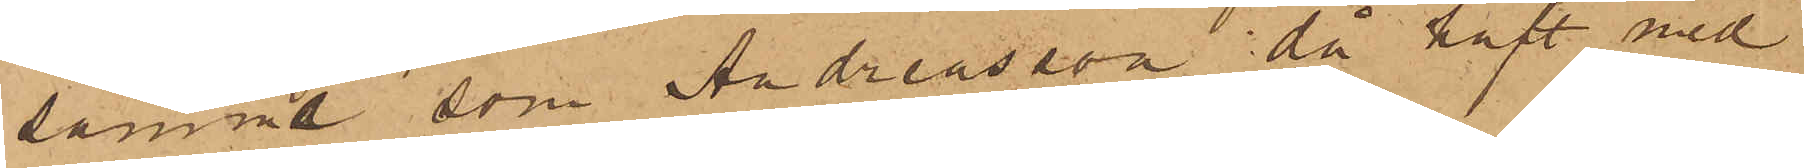samma som Andreasson då haft med
